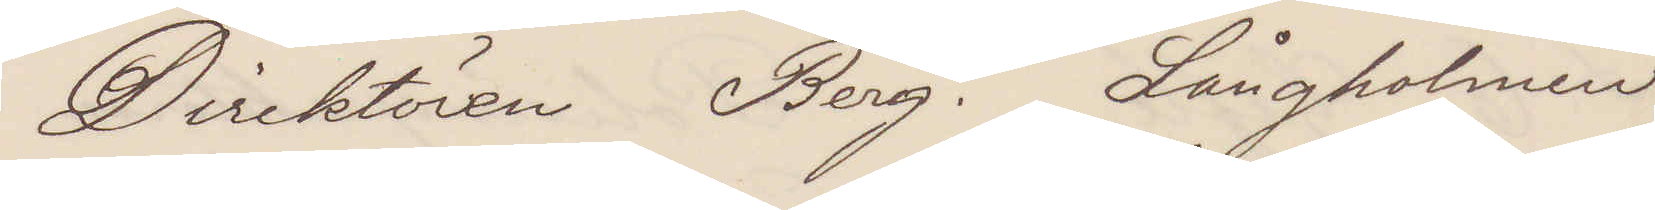Direktören Berg. Långholmen
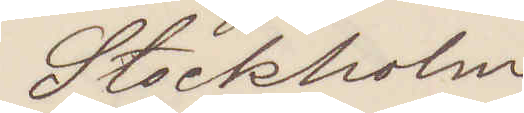Stockholm
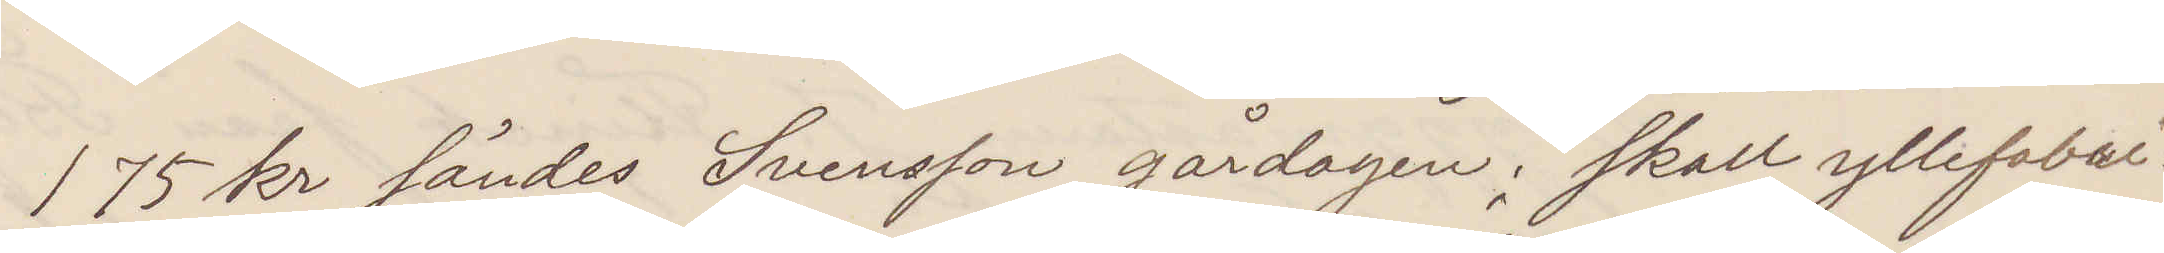175 kr sändes Svensson gårdagen: skall yllefabri¬
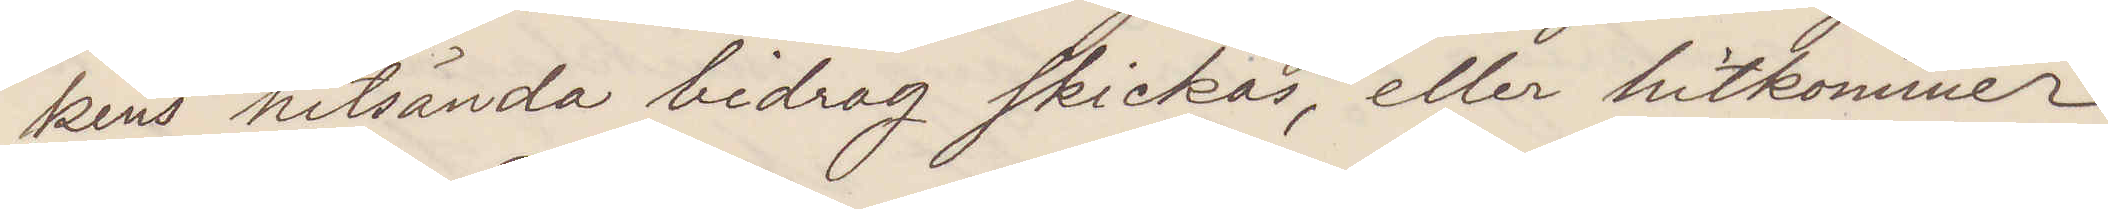kens hitsända bidrag skickas, eller hitkommer
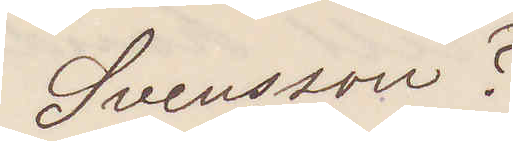Svensson?
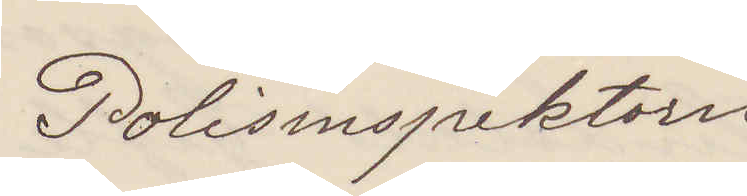Polisinspektorn
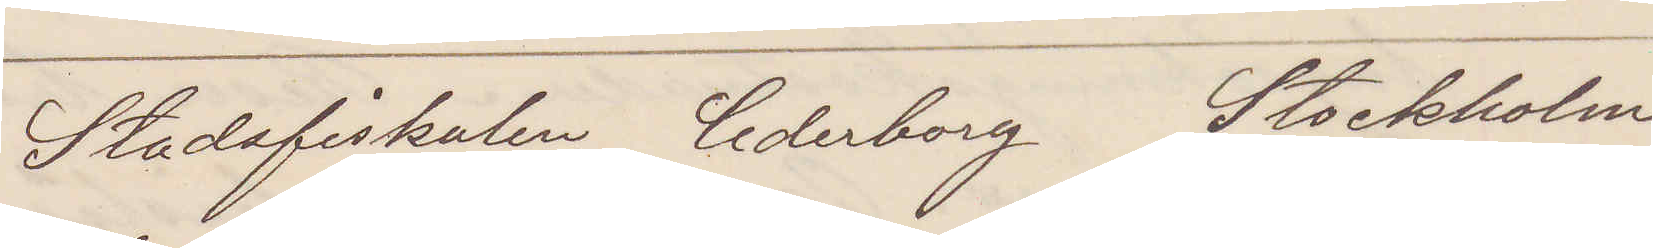Stadsfiskalen Cederborg Stockholm
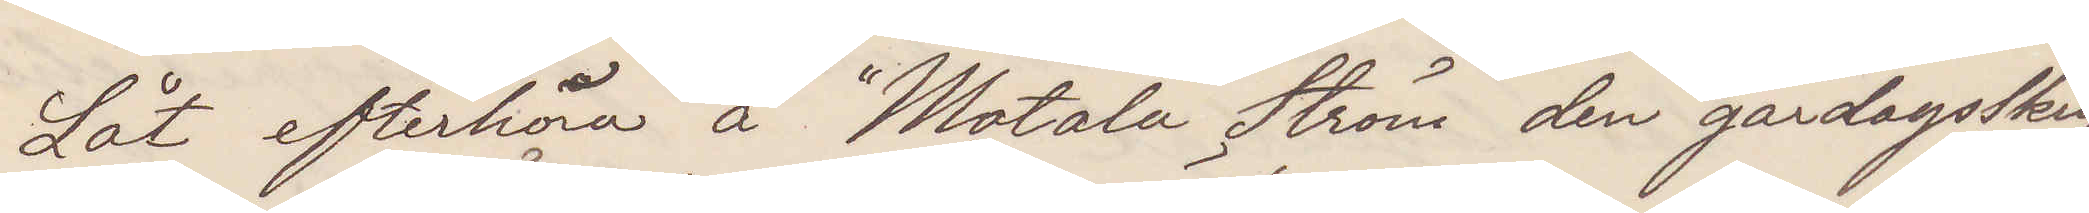Låt efterhöra å "Motala Ström" den gårdagsskrif¬
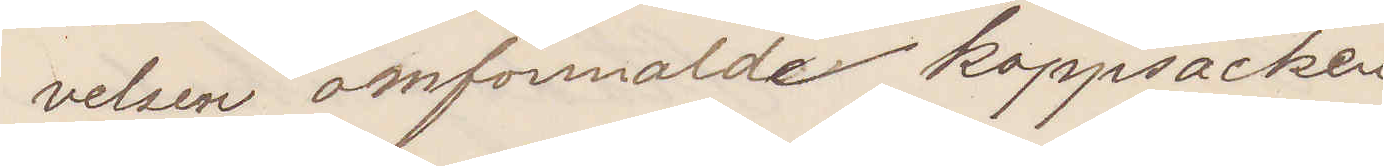velsen omförmälde kappsäcken
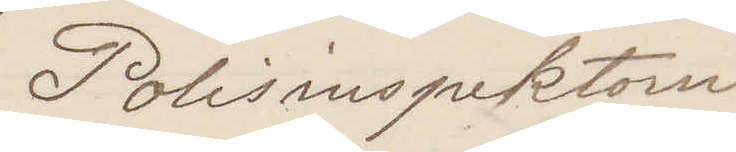Polisinspektorn
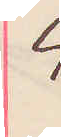4
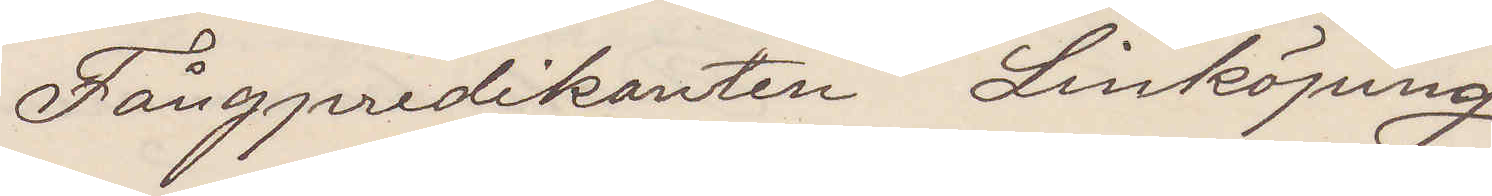Fångpredikanten Linköping
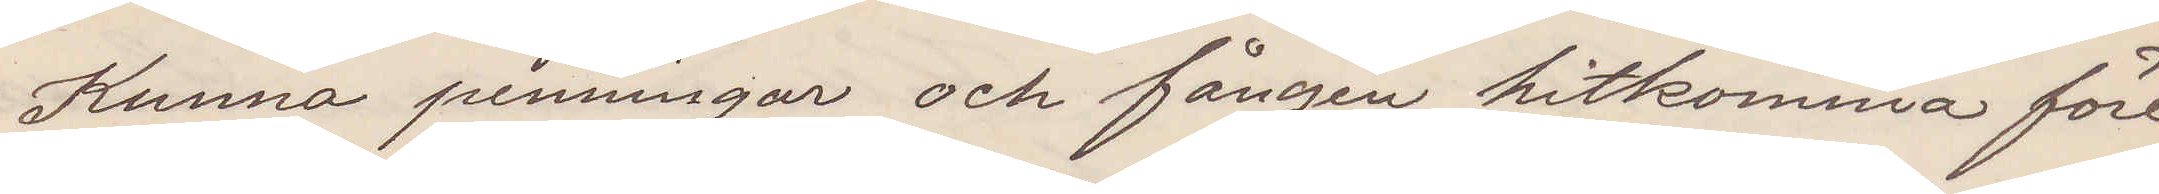Kunna penningar och fången hitkomma före
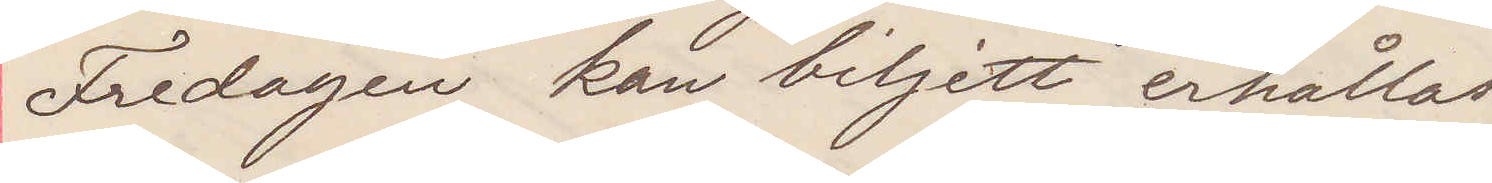Fredagen kan biljett erhållas.
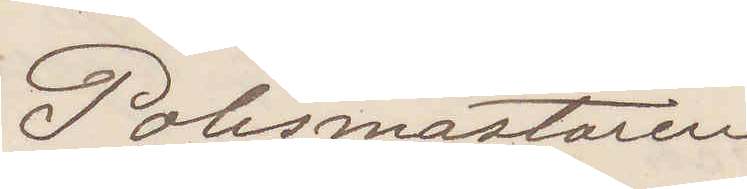Polismästaren
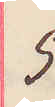5
